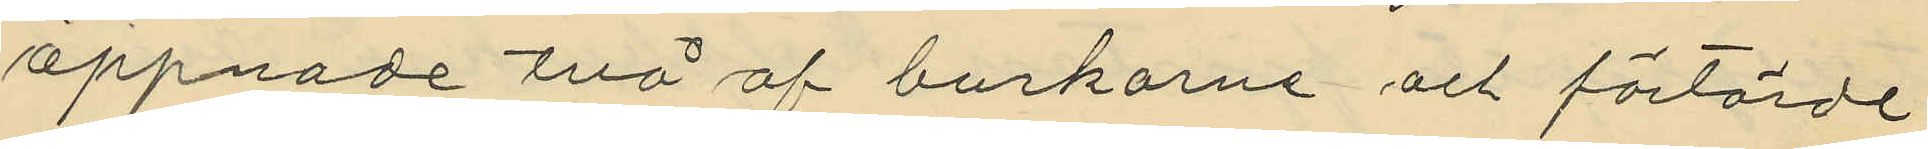öppnade två af burkarne och förtärde
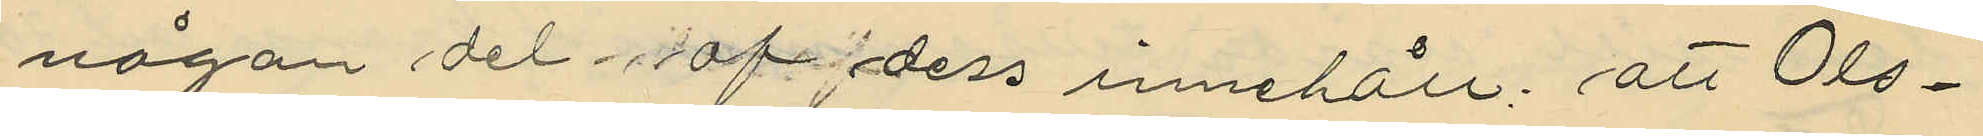någon del af dess innehåll; att Ols¬
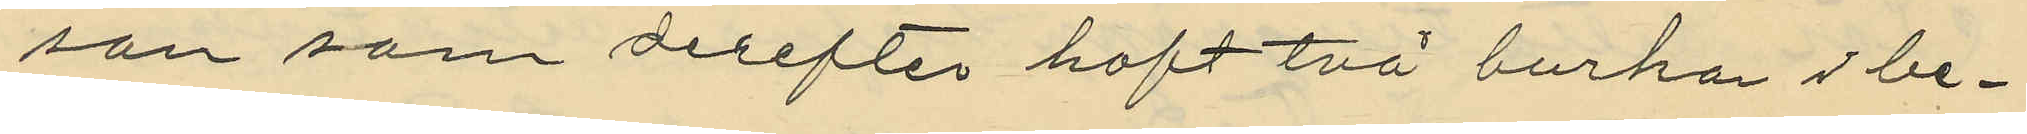son som derefter haft två burkar i be¬
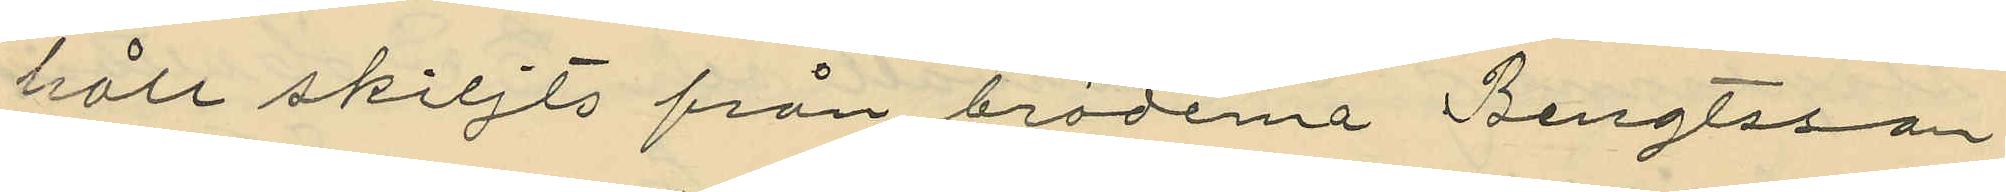håll skiljts från bröderna Bengtsson
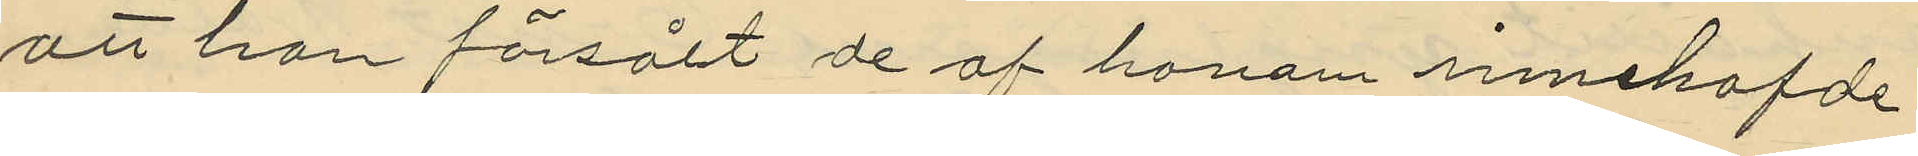att han försålt de af honom innehafde
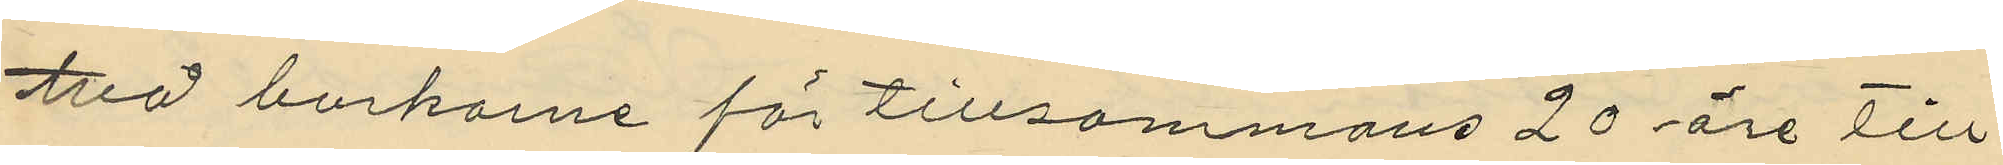två burkarne för tillsammans 20 öre till
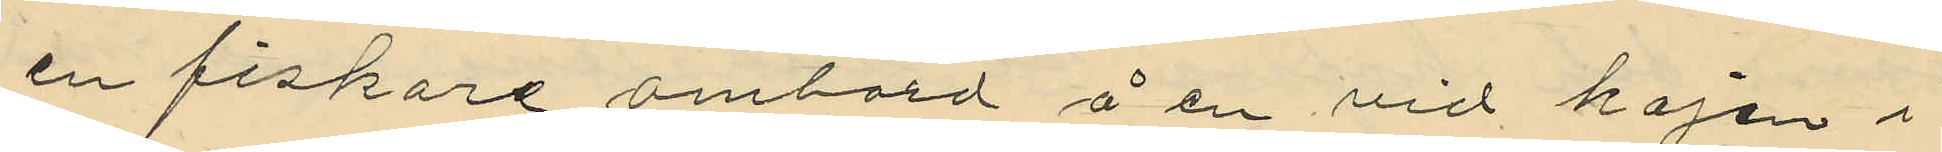en fiskare ombord å en vid kajen i
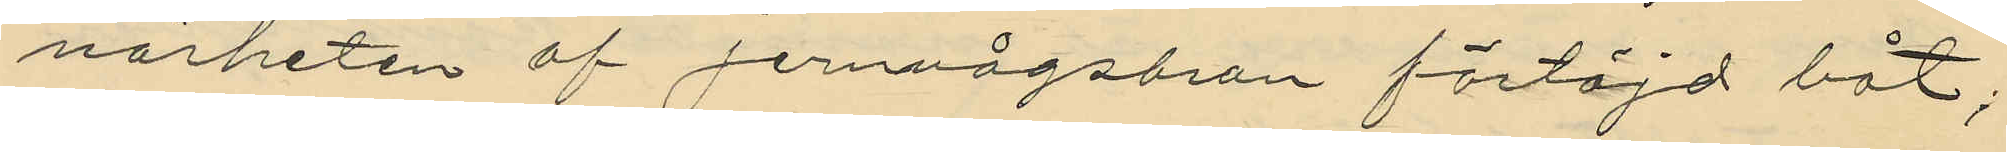närheten af Jernvägsbron förtöjd båt;
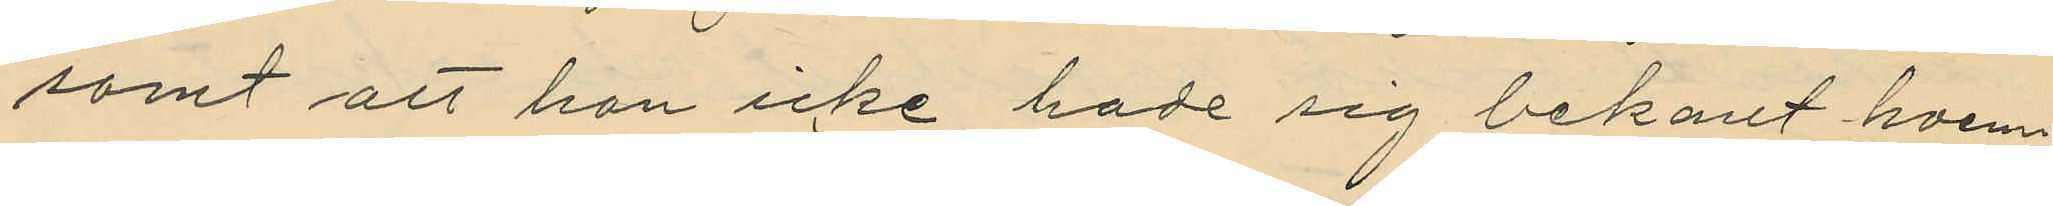samt att han icke hade sig bekant hvem¬
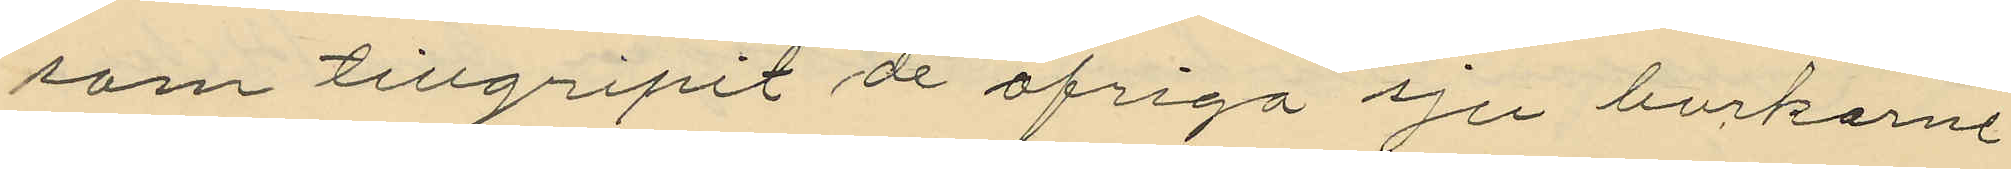som tillgripit de öfriga sju burkarne
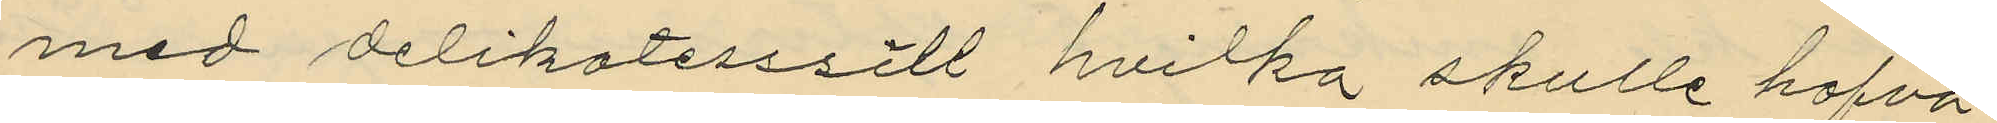med delikatesssill hvilka skulle hafva
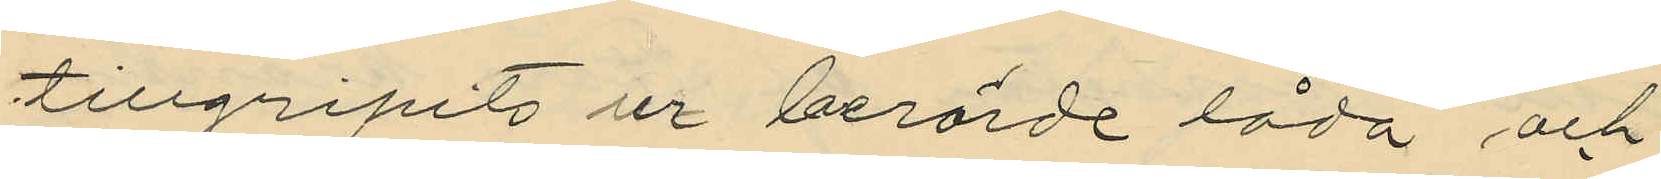tillgripits ur berörde låda och
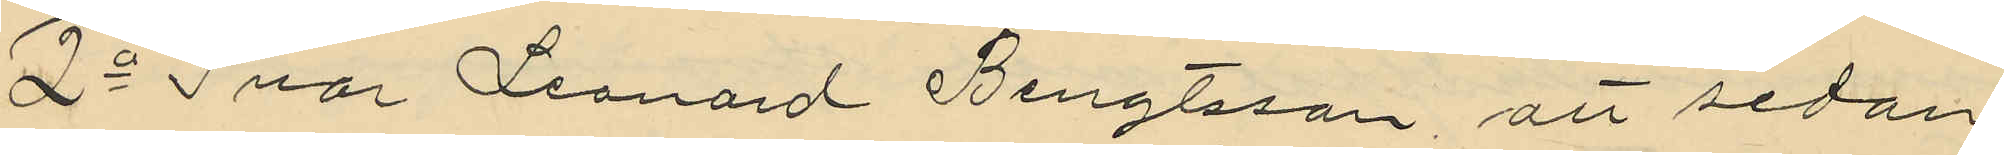2o Ivar Leonard Bengtsson, att sedan
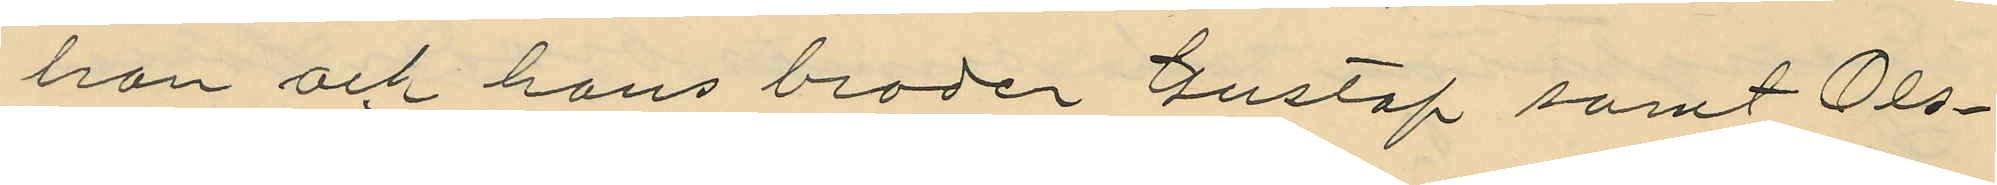han och hans broder Gustaf samt Ols¬
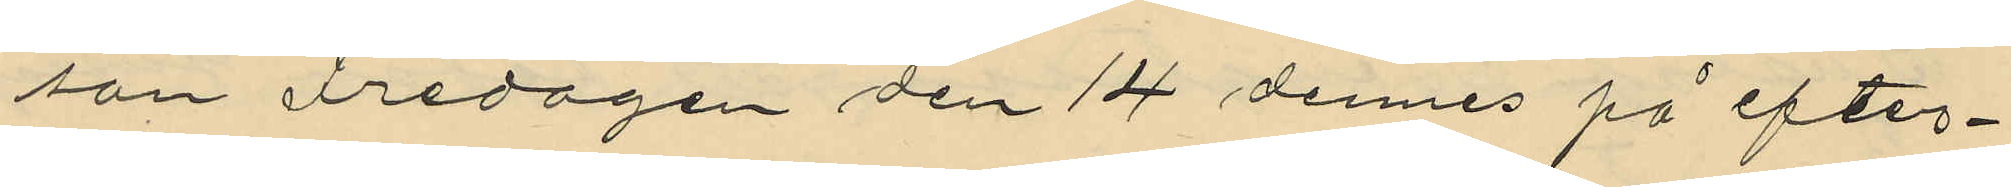son Fredagen den 14 dennes på efter¬
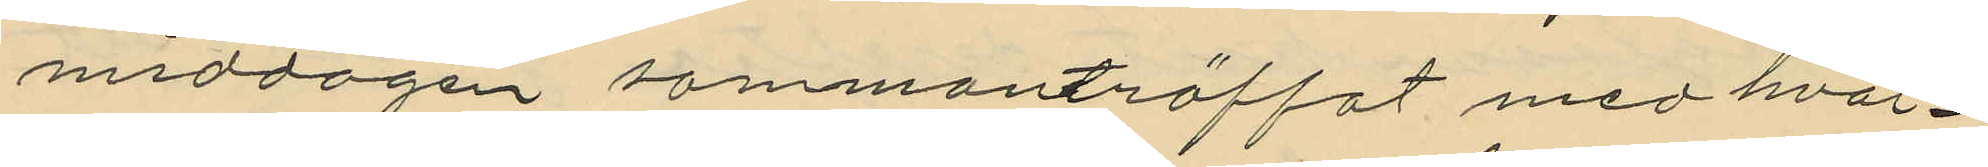middagen sammanträffat med hvar¬
